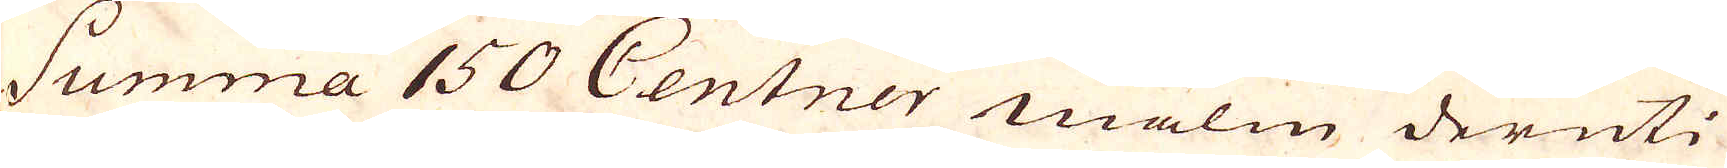Summa 150 Centner malm deruti
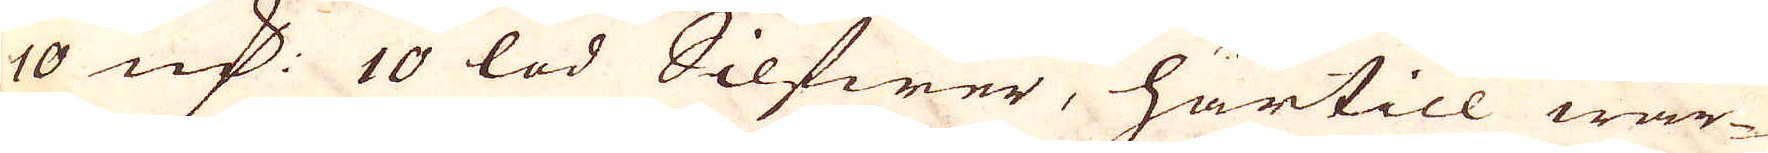10 qv:r 10 lod Silfwer, härtill war-
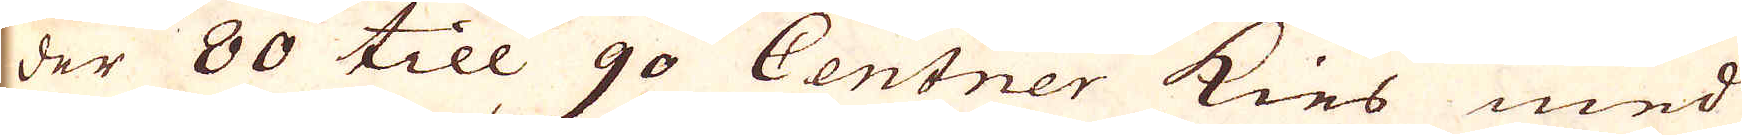der 80 till 90 Centner kies med
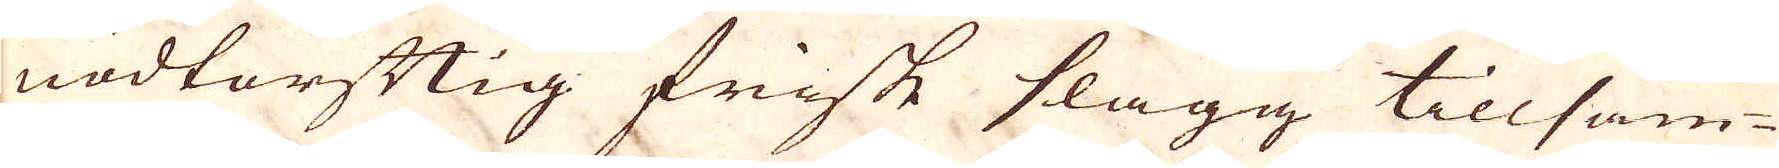nödtorftig friske slagg tillsam-
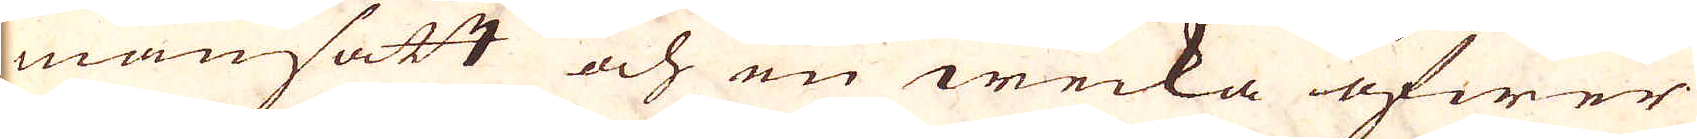mansatt och en wecka öfwer
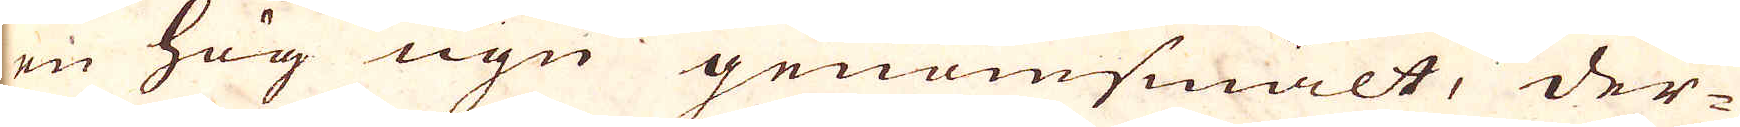en hög ugn genomsmält, der-
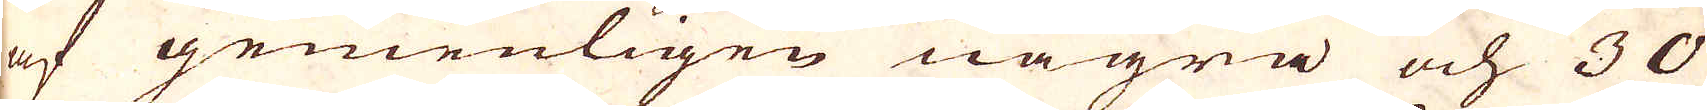af gemenligen några och 30
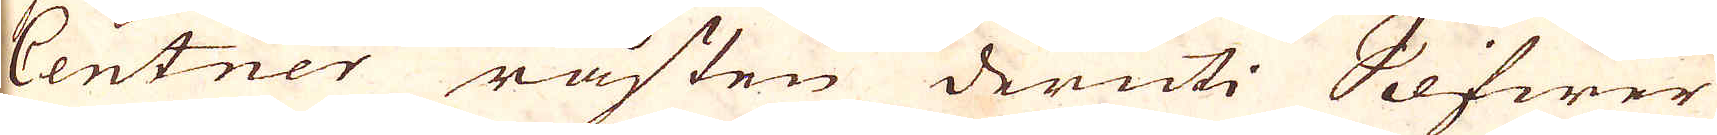Centner råsten deruti Silfwer
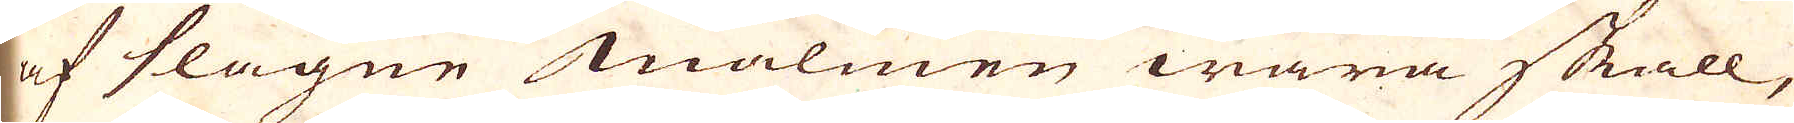af slagne malmen wara skall,
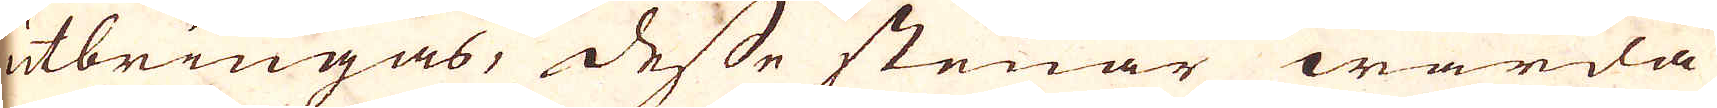utbringas, desse stenar warda
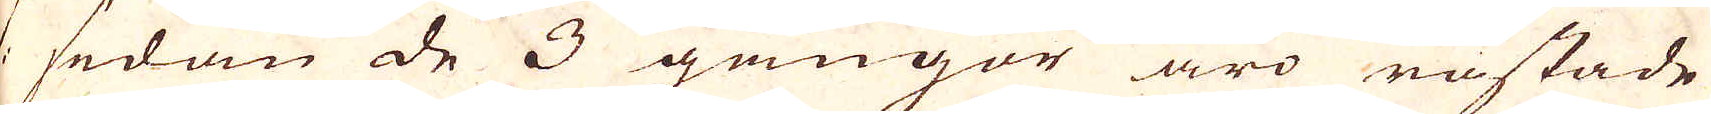:/: sedan de 3 gångor äro råstade
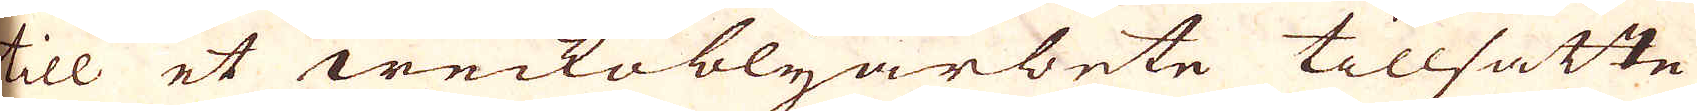till et weckoblyarbete tillsatte
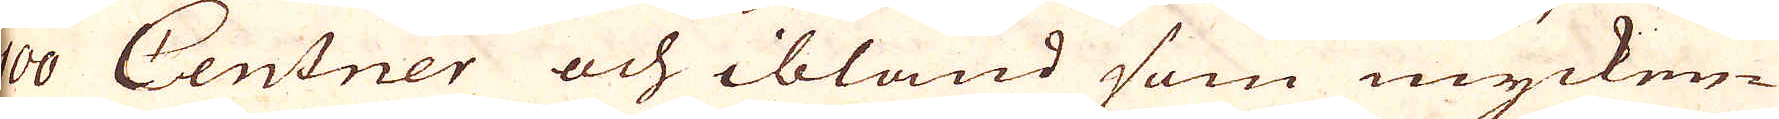100 Centner och ibland som mycken-
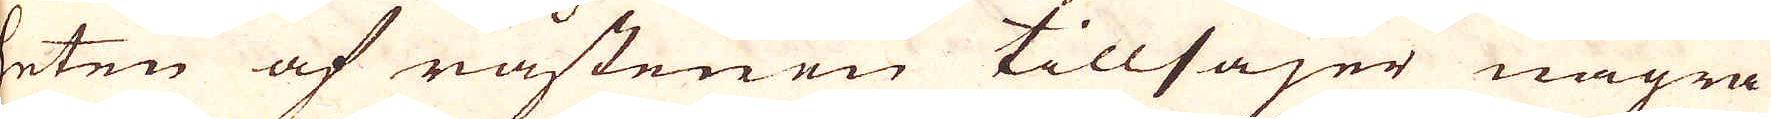heten af råstenen tillsäjer några
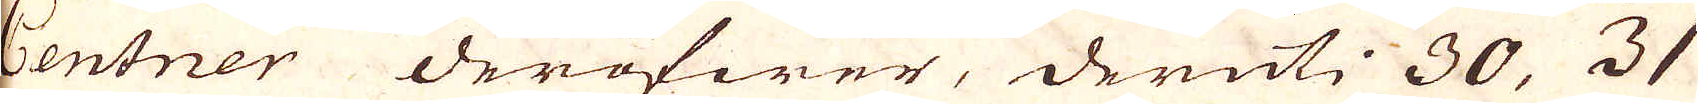Centner deröfwer, deruti 30, 31
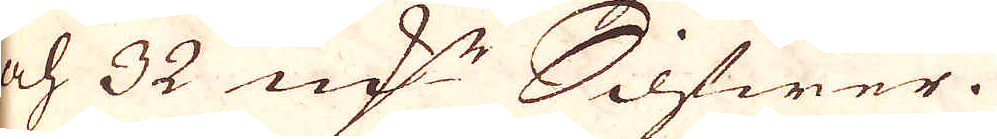och 32 qv:r Silfwer.
